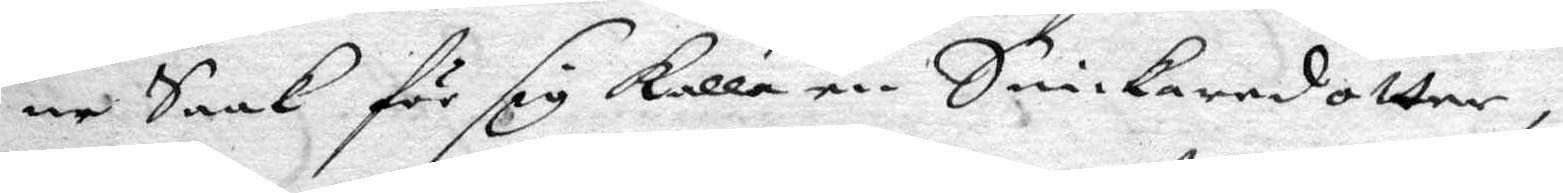ne Saak för sig kalla en Snickaredotter,
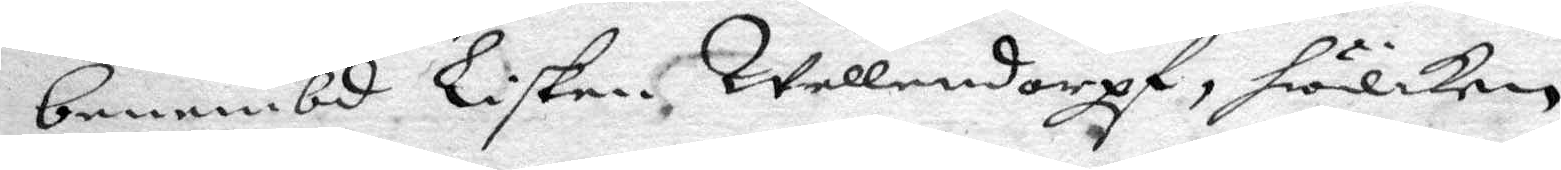benembd Lisken Wallendorpf, hwilken
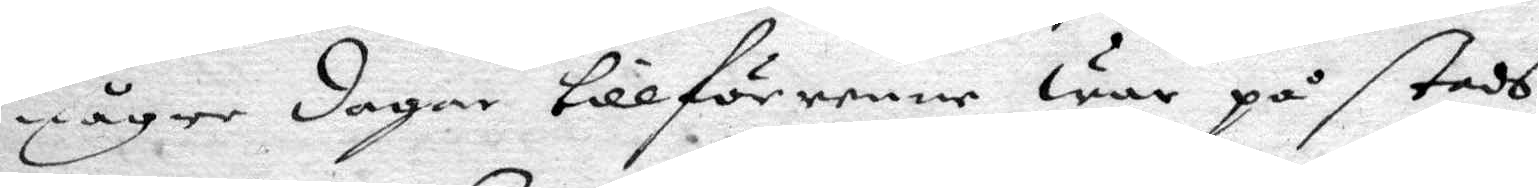någre dagar tillförenne war på stads¬
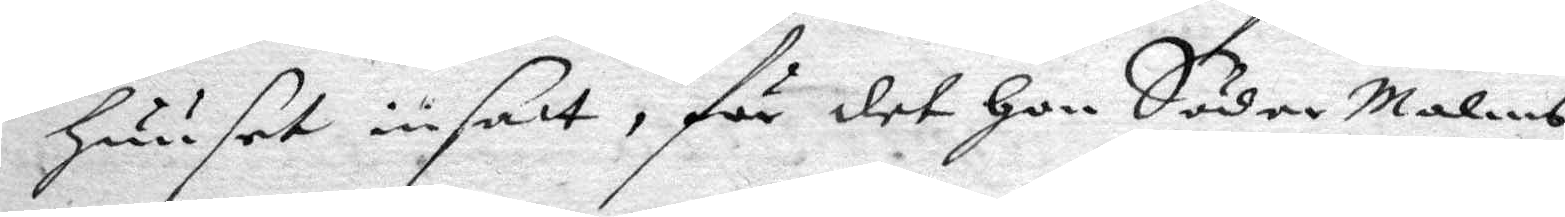huuset inatt, för det hon SöderMalms
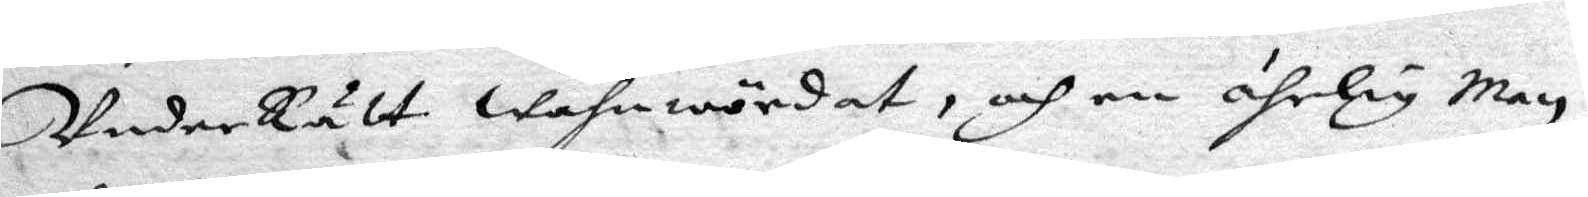UnderRätt Wahnwördat, och en ährlig Man
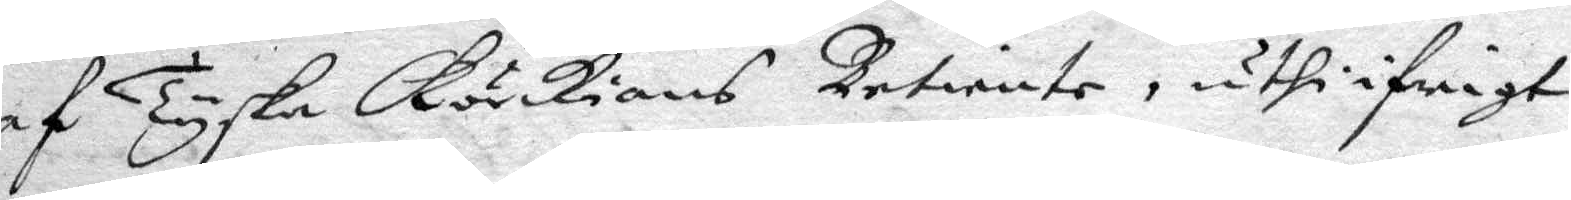af Tyska Körkians Betiente, uthi ifrigt
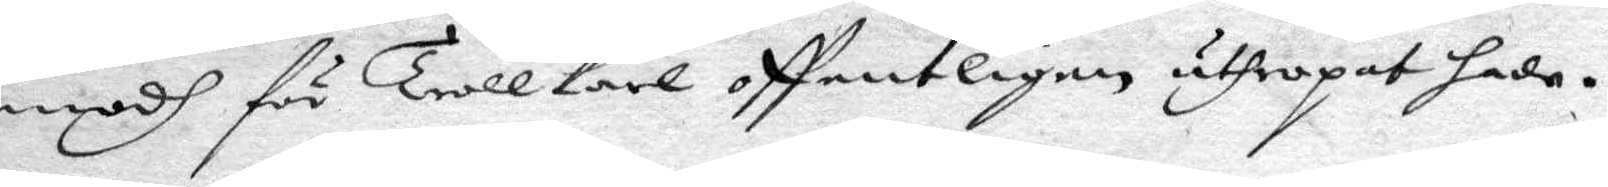modh för Trollkarl offentligen uthropat hade.
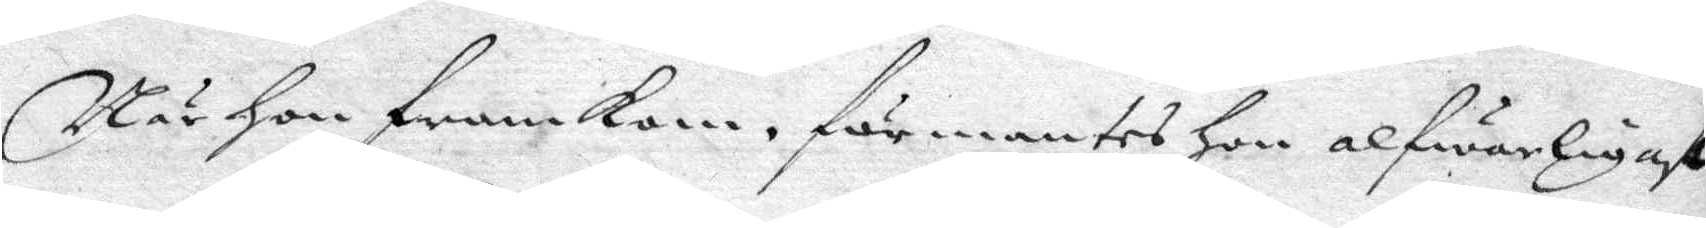När hon framkom, förmantes hon alfwarligast
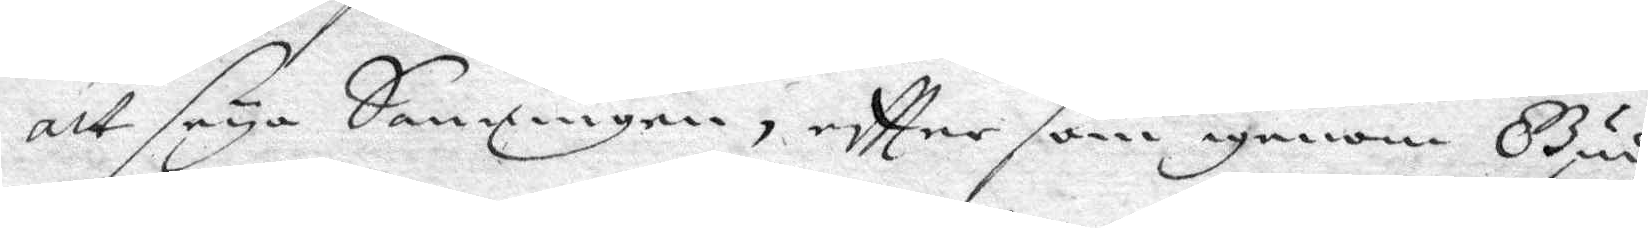att säya Sanningen eftter som igenom Gudz
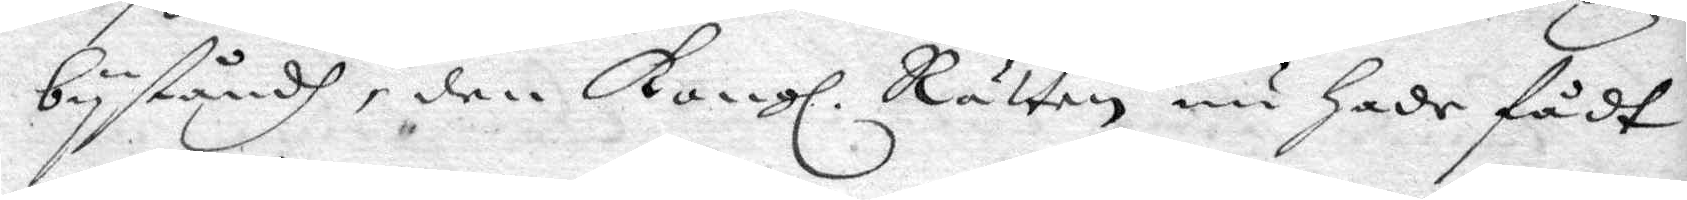byståndh, den Kongl. Rätten nu hade fådt
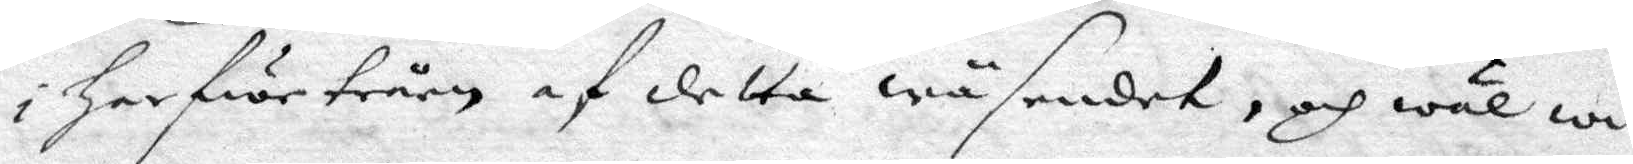i harfwetrårn af detta wäsendet, och wäl wi¬
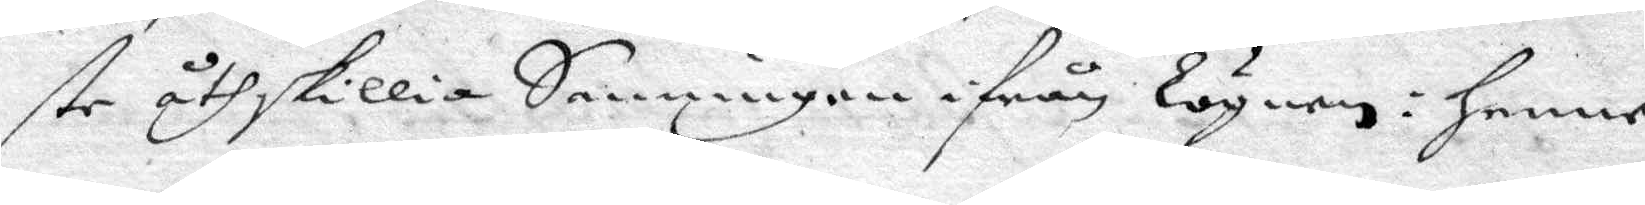ste åthskilliga Sanningen ifrån lögnen: henne
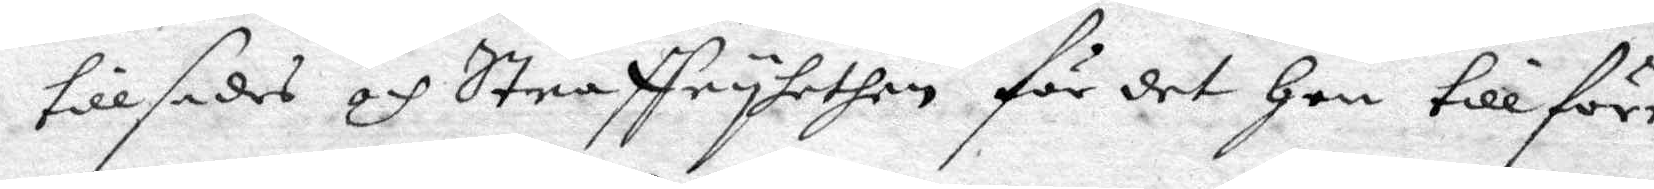tillsades och Straffryhethen för det hon tillförr¬
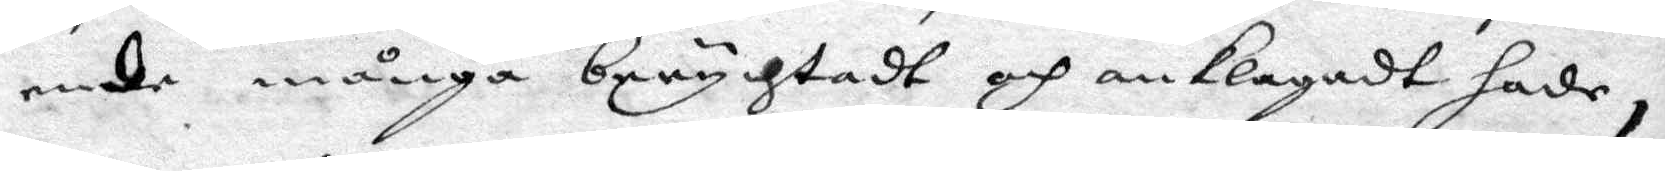nede många berychtadt och anklagadt hade,
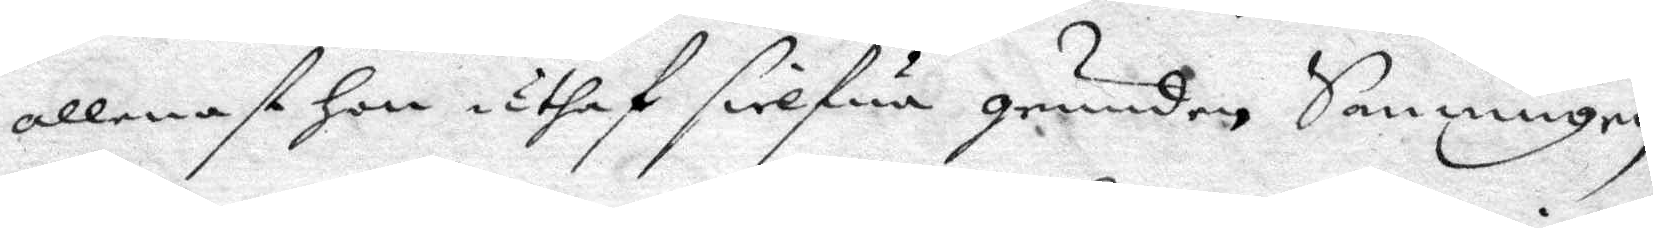allenast hon uthaf silfwa grunden Sanningen
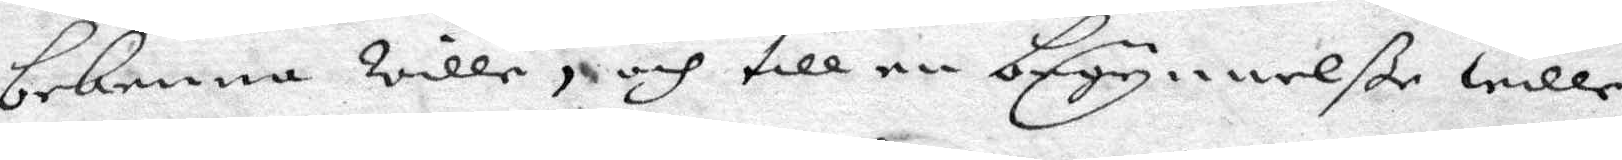bekenna wille, och till en begynnelße wille
